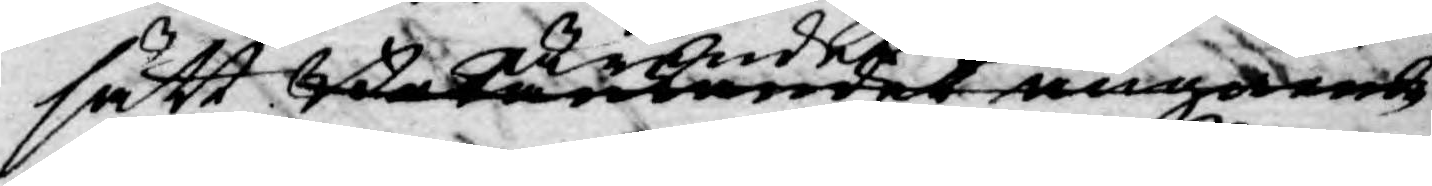sätt betänkandet angående ärendet om
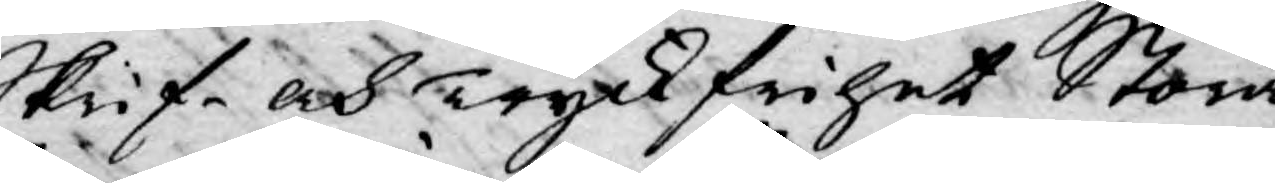Skrif- och Tryckfrihet Stora
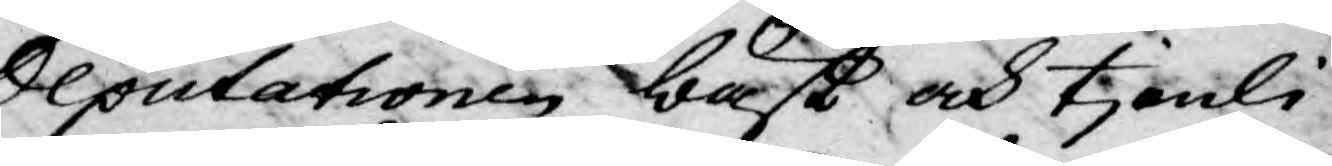Deputationen bäst och tjenli¬
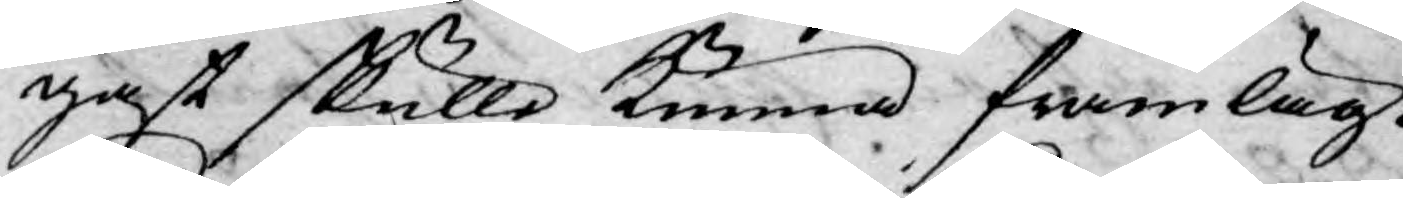gast skulle kunna framläg¬
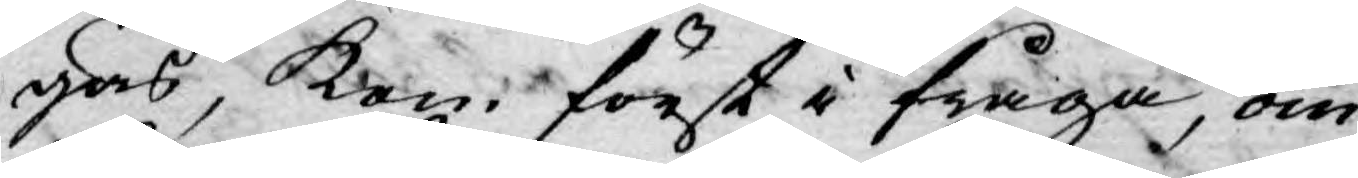gas, kom först i fråga, om
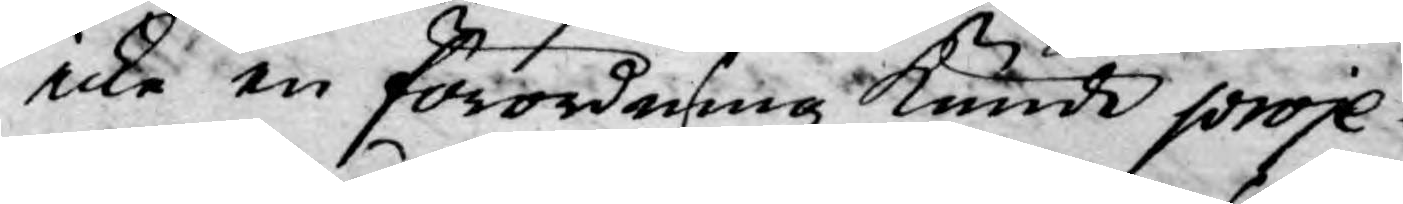icke en förordning kunde proje¬
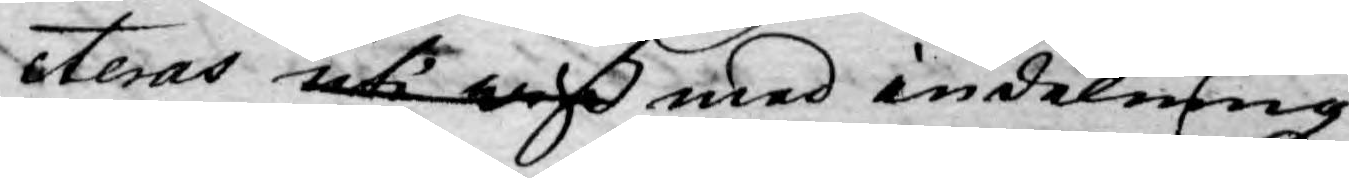cteras uti wiß med indelning
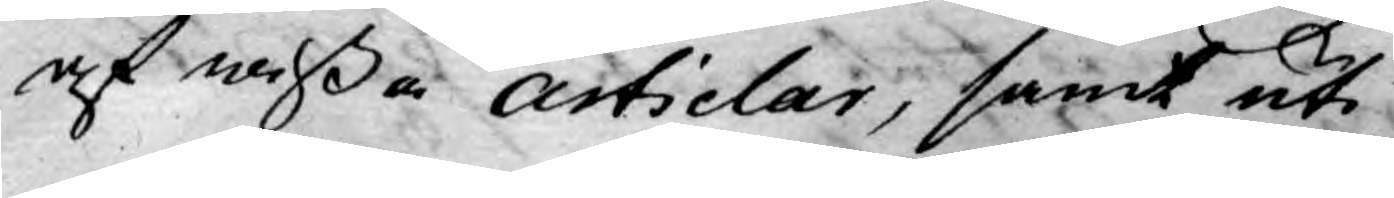af wißa Articlar, samt uti
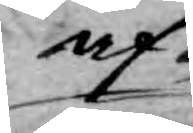af¬
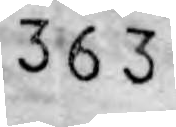363
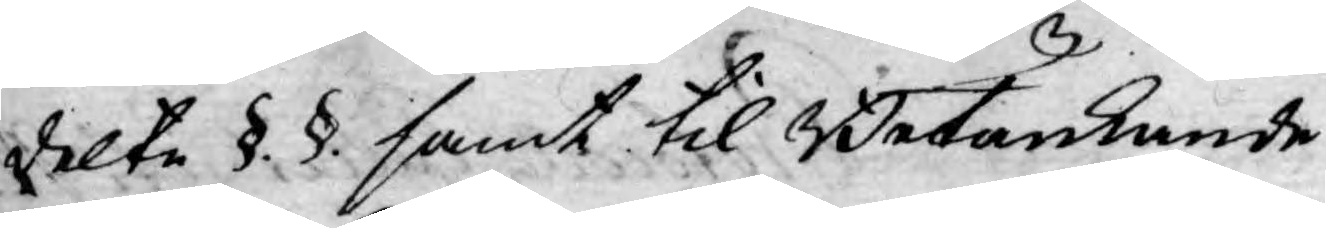delte §. §. samt til Betänkande
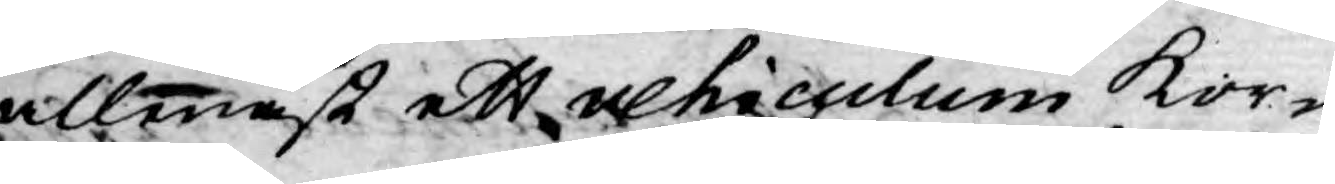allenast ett vehiculum kor¬
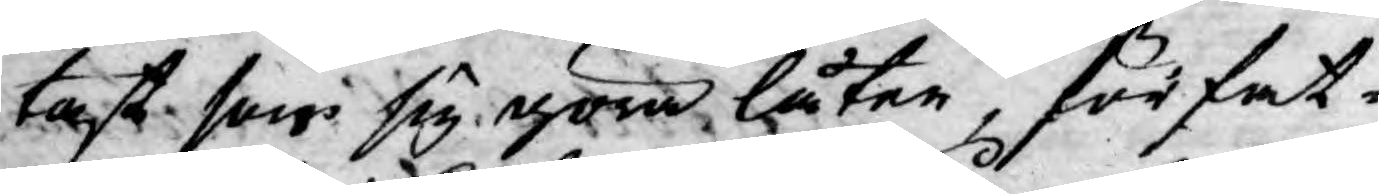tast som sig göra låter, förfat¬
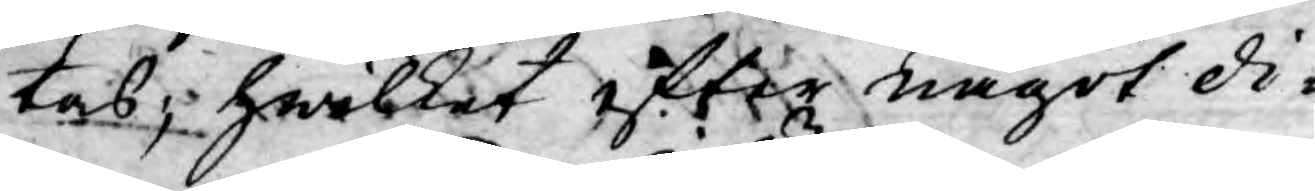tas; hwilket efter något di¬
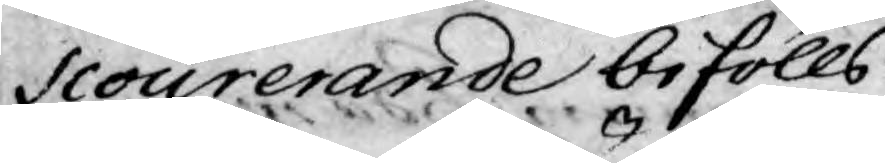scourerande bifölls.
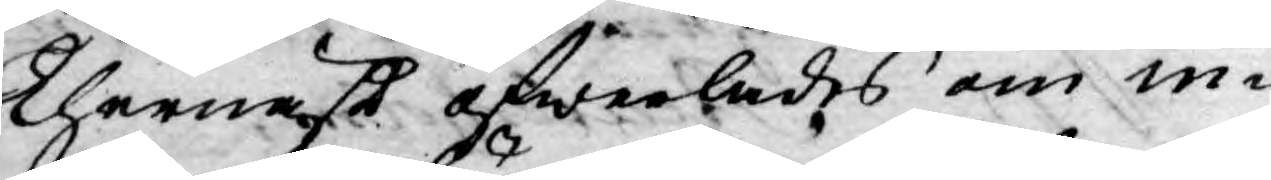Thernäst öfwerlades om in¬
